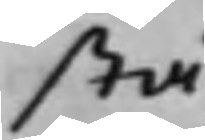stå.
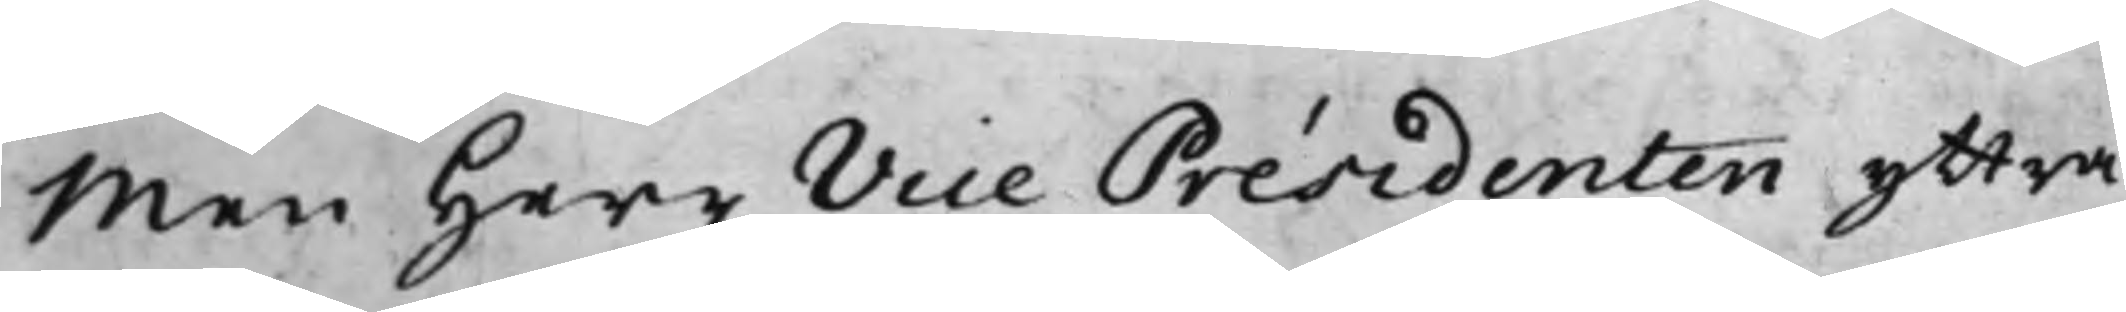Men Herr Vice Présidenten yttra¬
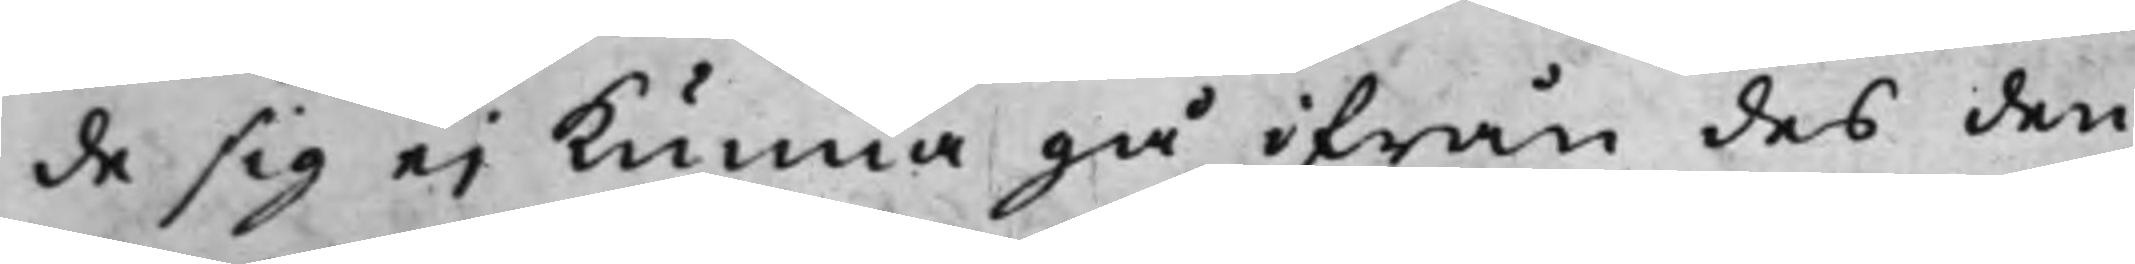de sig ei kunna gå ifrån des den
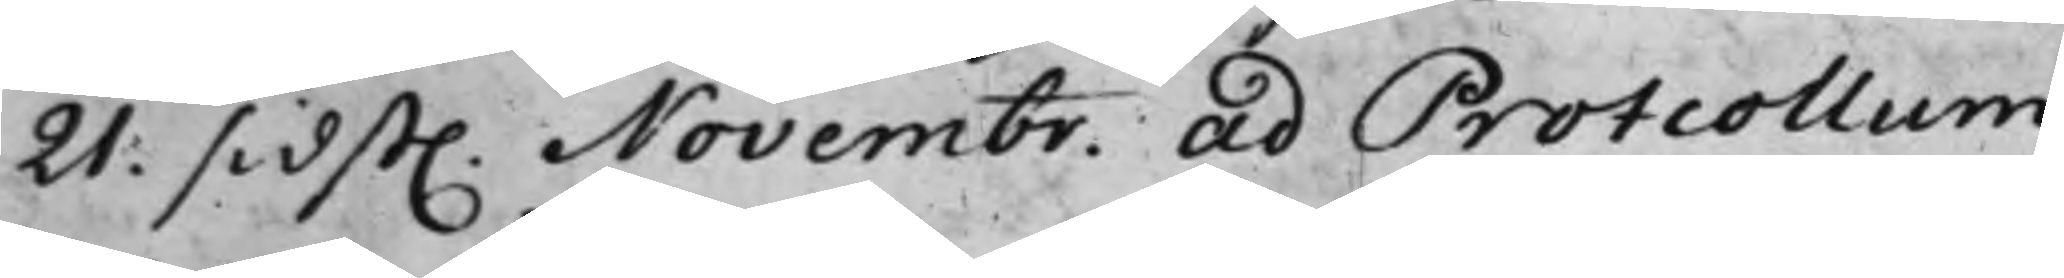21. sidst. Novembr. ad Protcollum
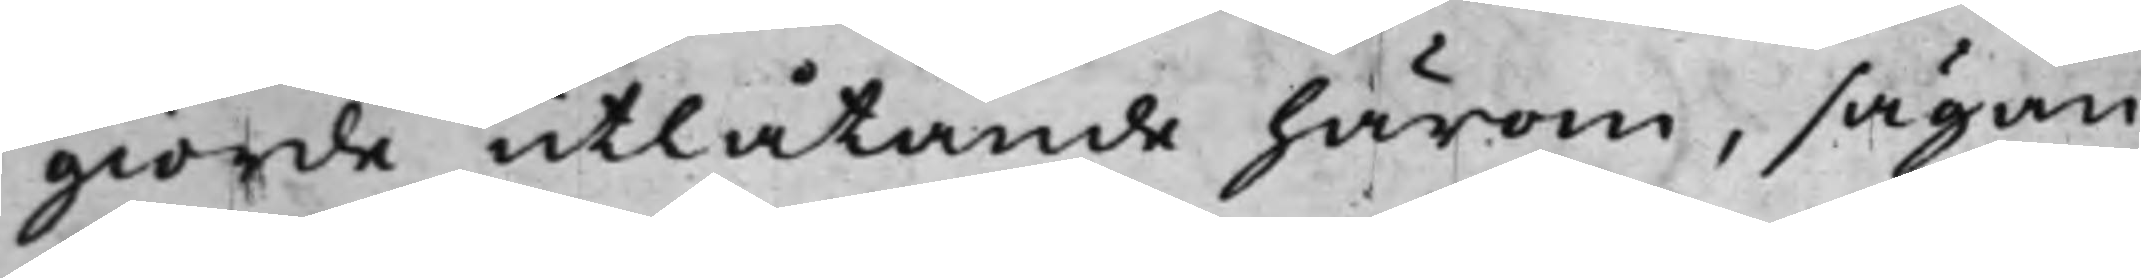giorde utlåtande härom, sägan¬
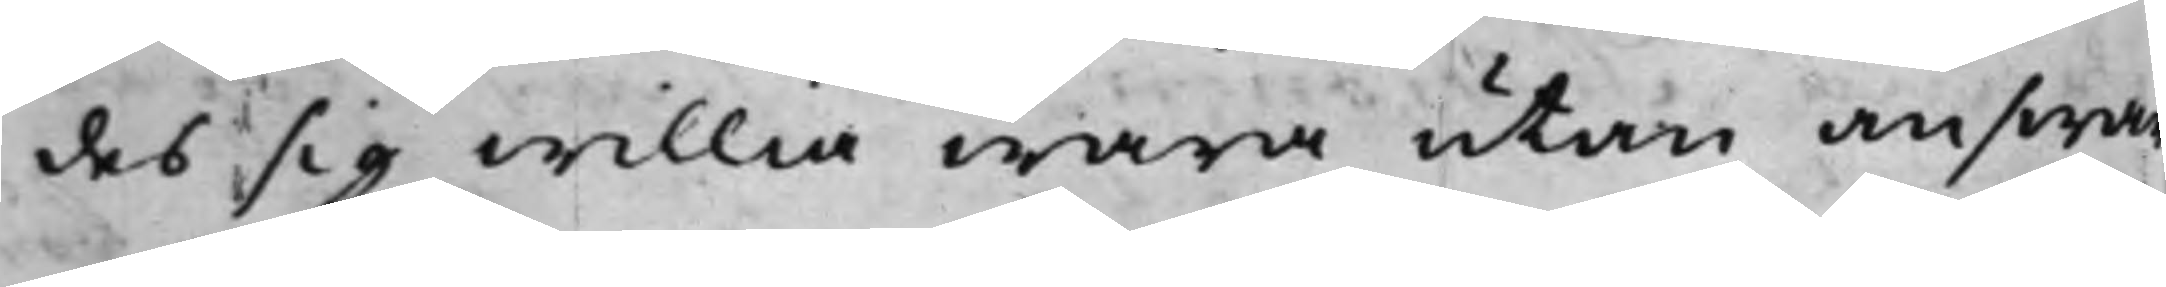des sig willia wara utan answar
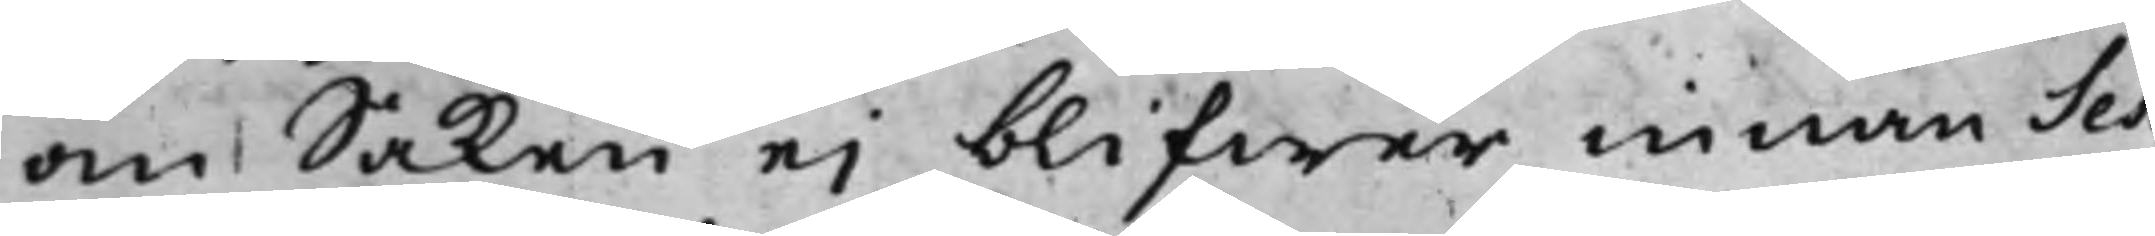om Saken ei blifwer innan Ses¬
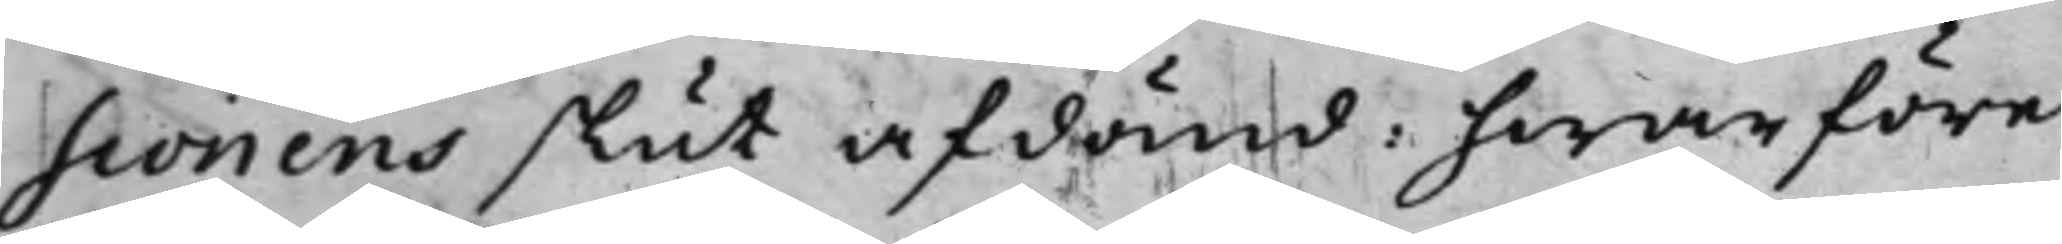sionens slut afdömd: hwarföre
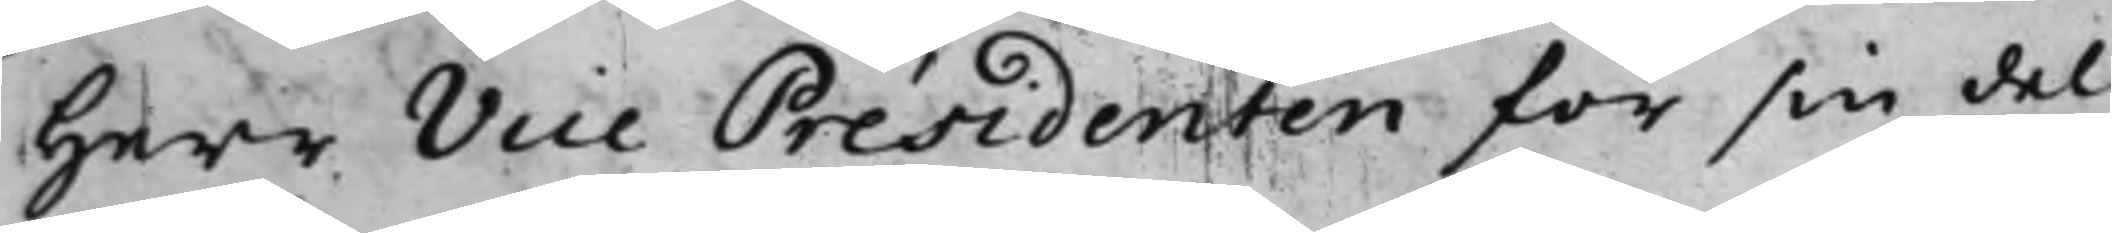Herr Vice Présidenten för sin del
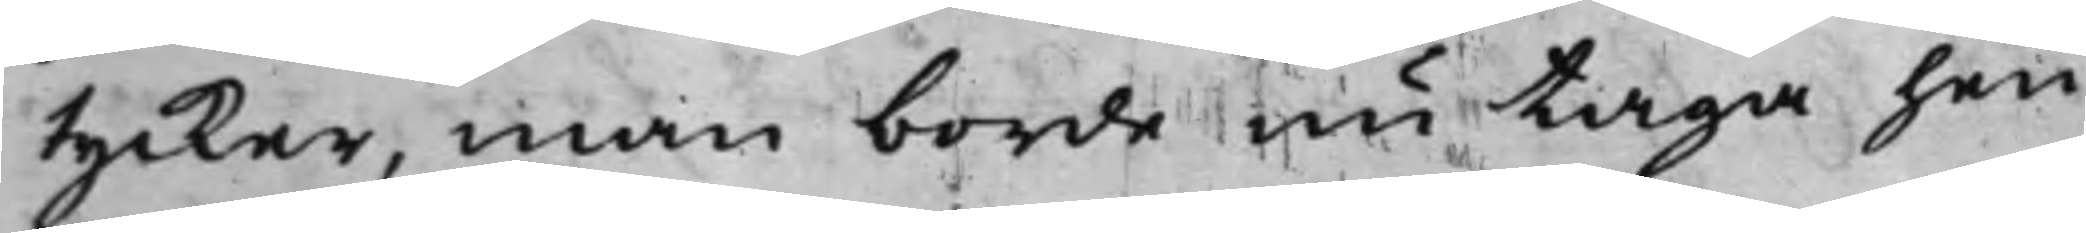tycker, man borde nu taga hen¬
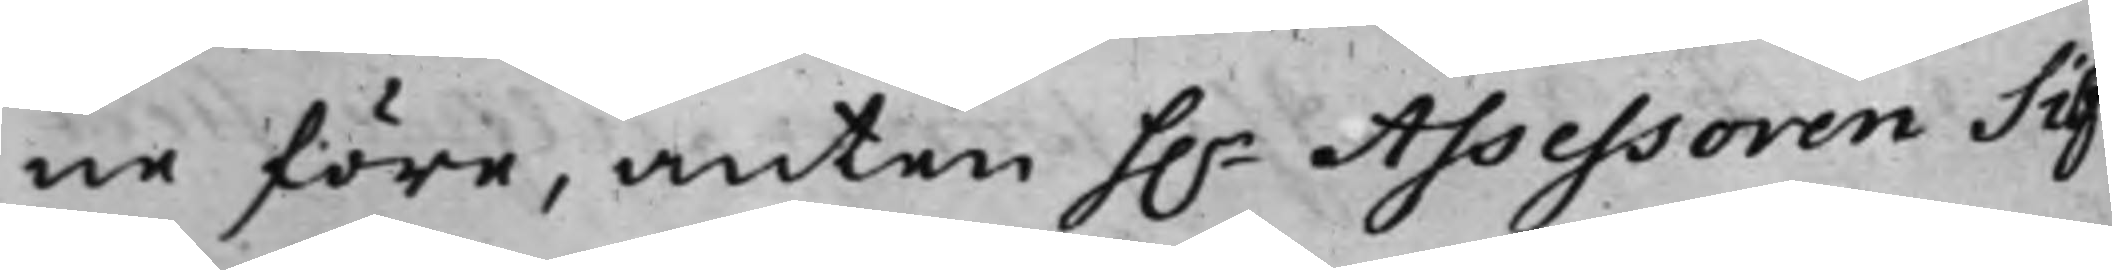ne före, anten h.r Assessoren Silf¬
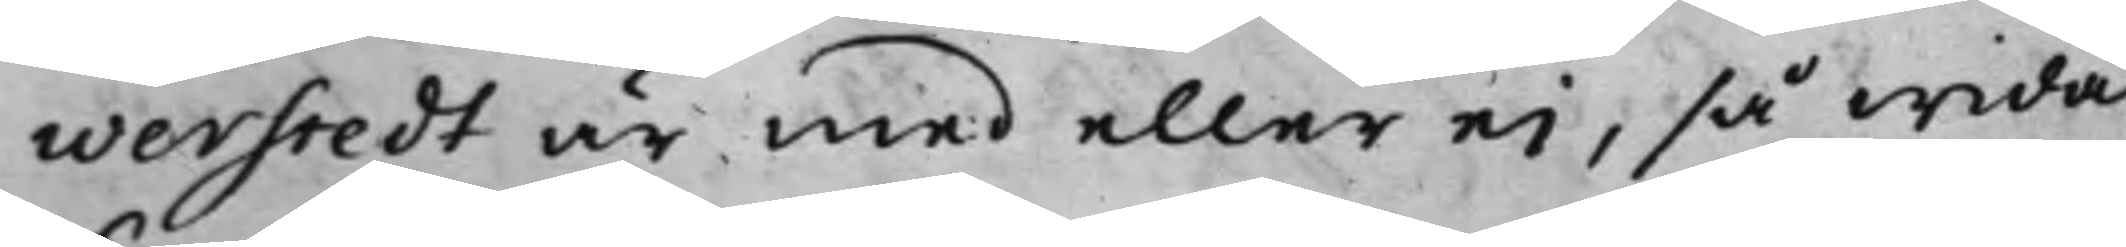werstedt är med eller ei, så wida
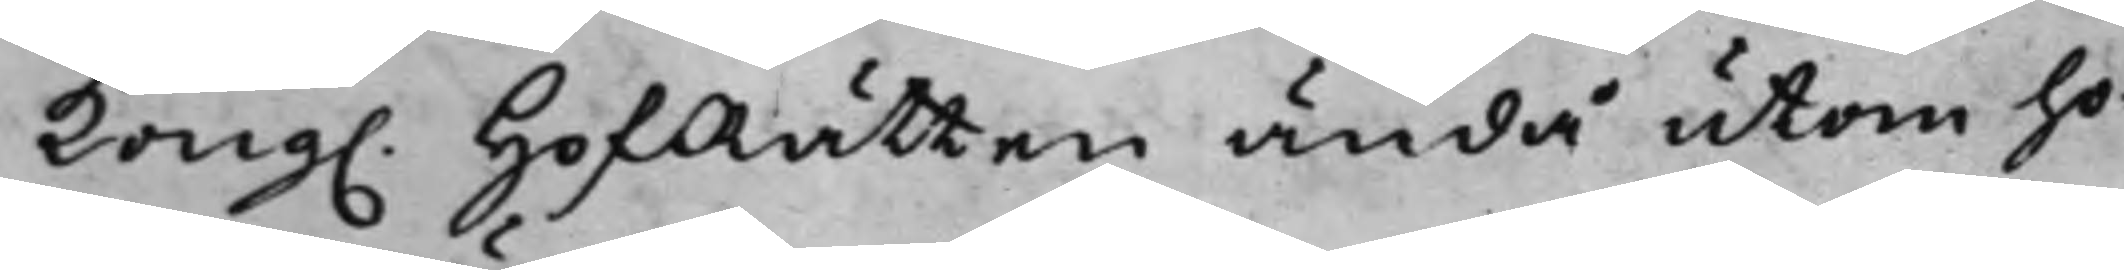Kong. HofRätten ändå utom ho¬
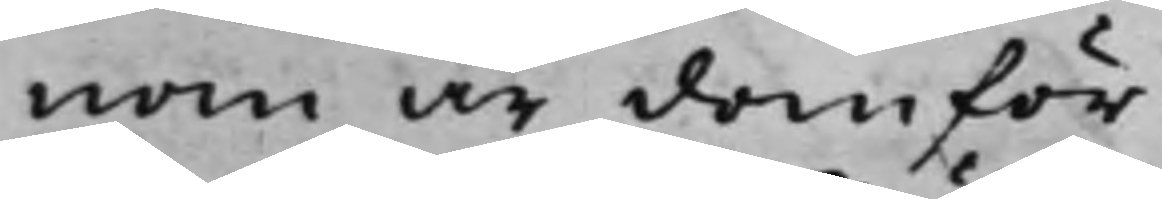nom är domför.
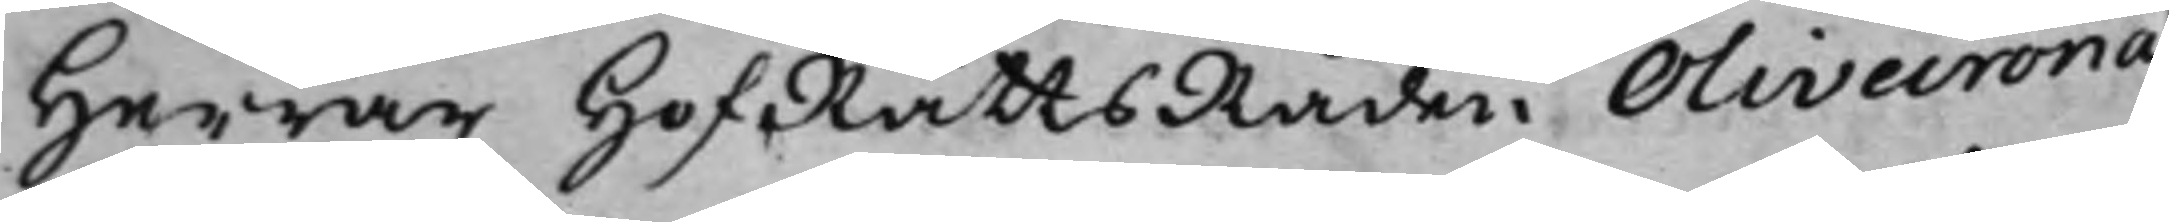Herrar HofRättsRåden Olivecrona
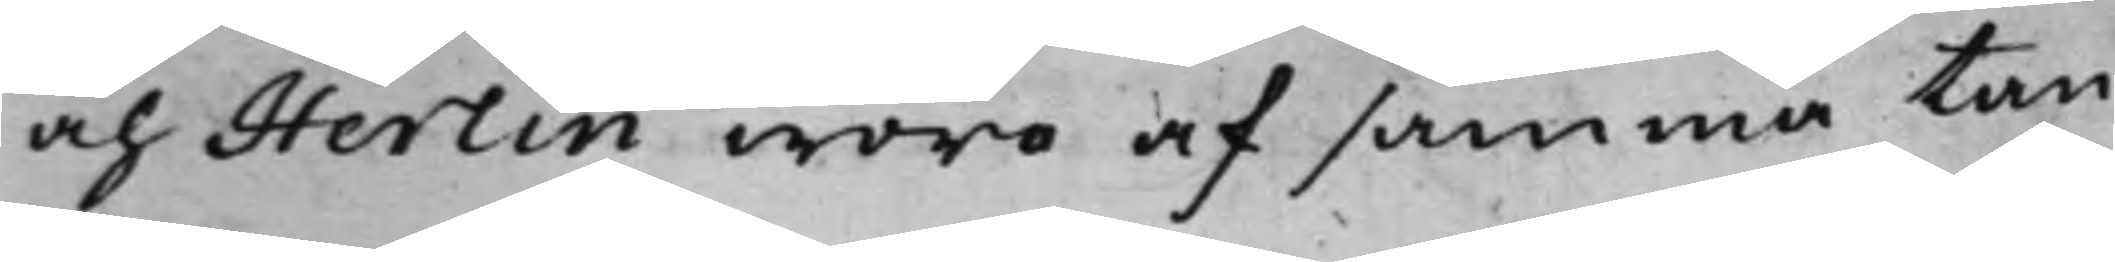och Herlin woro af samma tan¬
